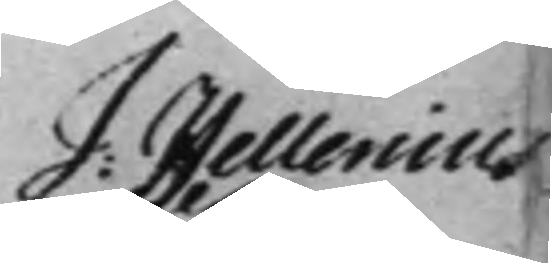J: Hellenius
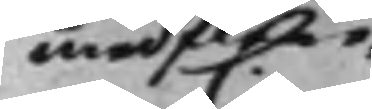med flere,
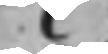C.
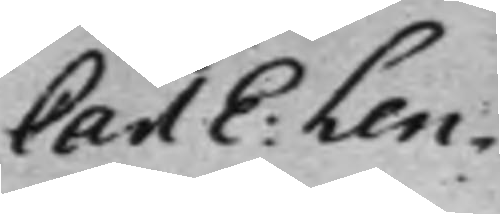Carl E: Len¬
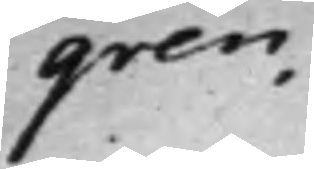gren.
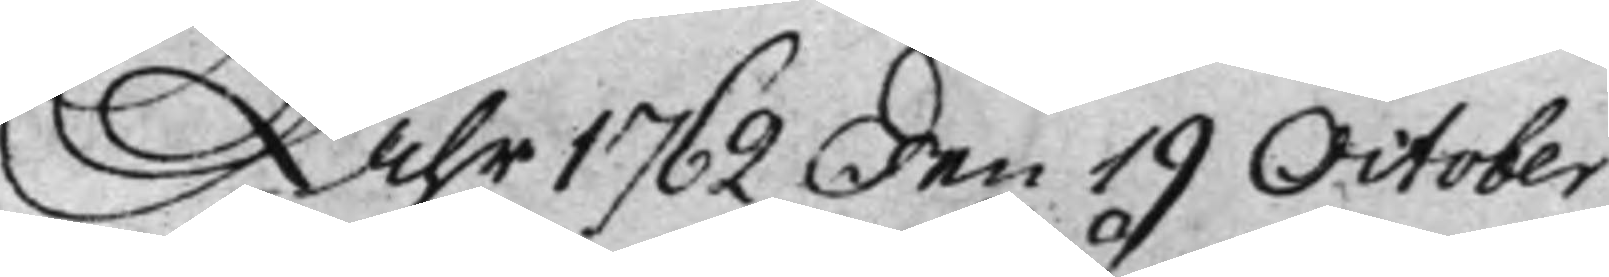Åhr 1762 den 19 October
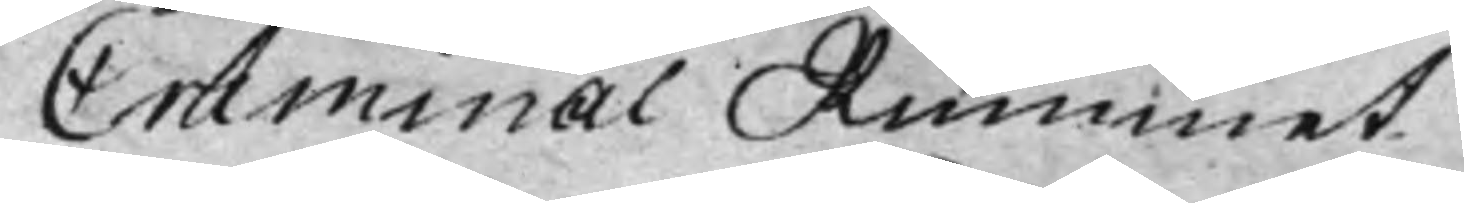Criminal Rummet
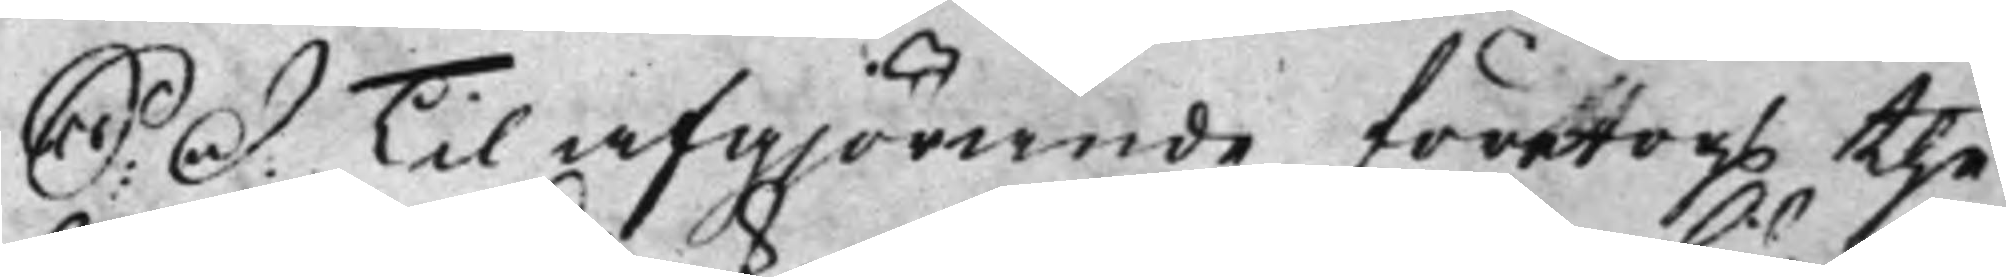S: D. Til afgjörande företogs the
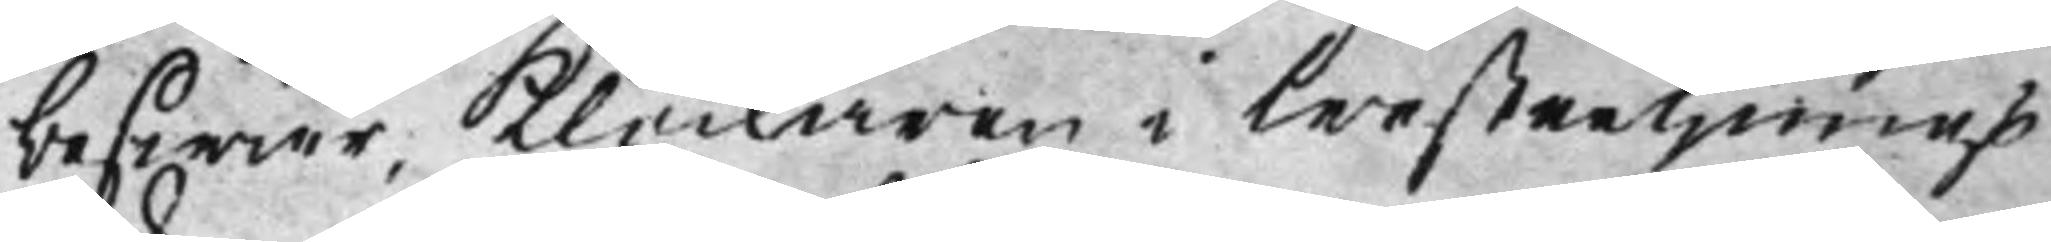beswär, Klockaren i Westerljungs
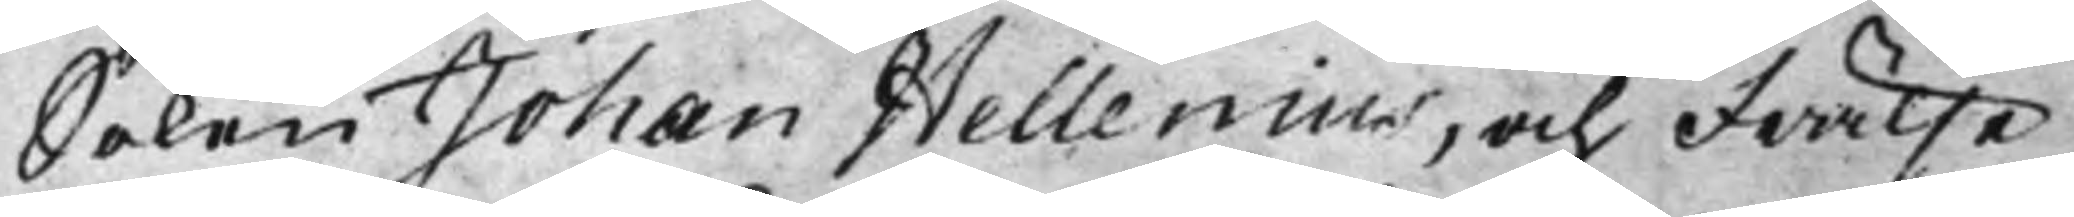Soken Johan Hellenius, och Frälse¬
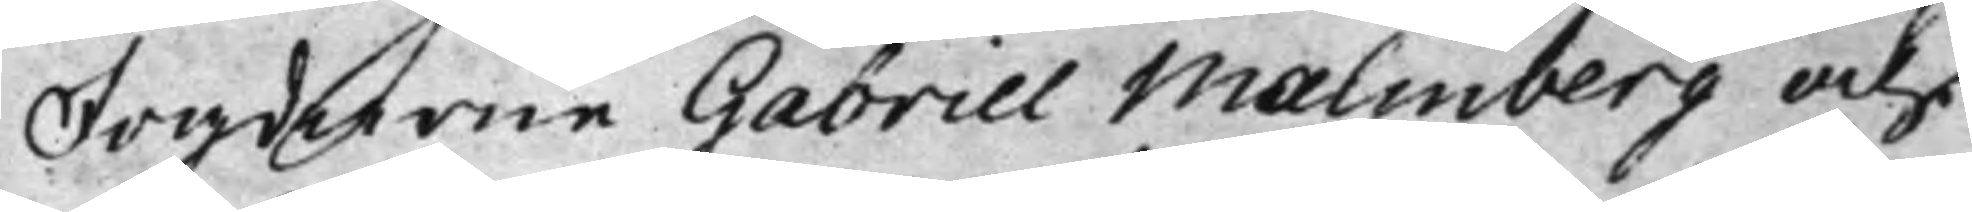Fogdarne Gabriel Malmberg och
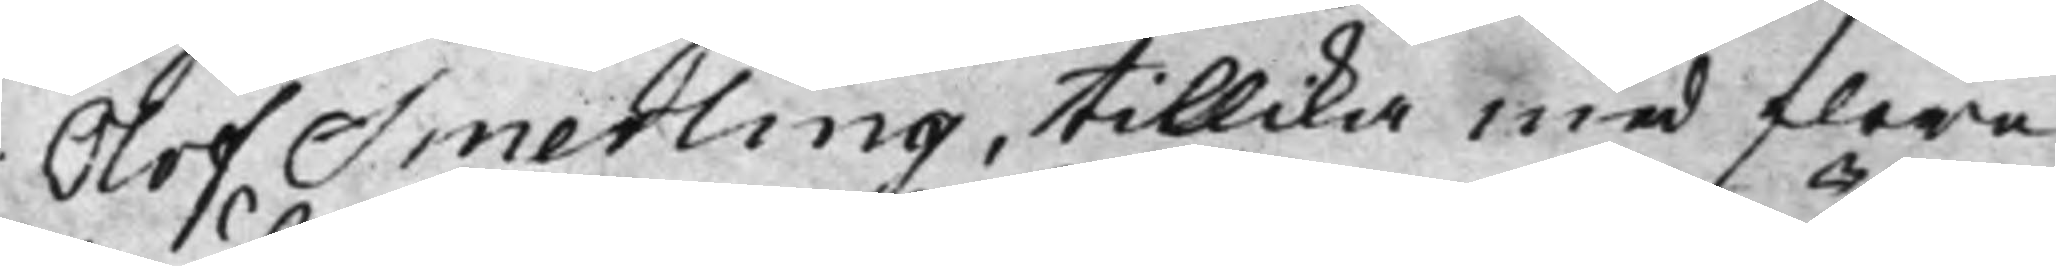Olof Smerling, tillika med flere
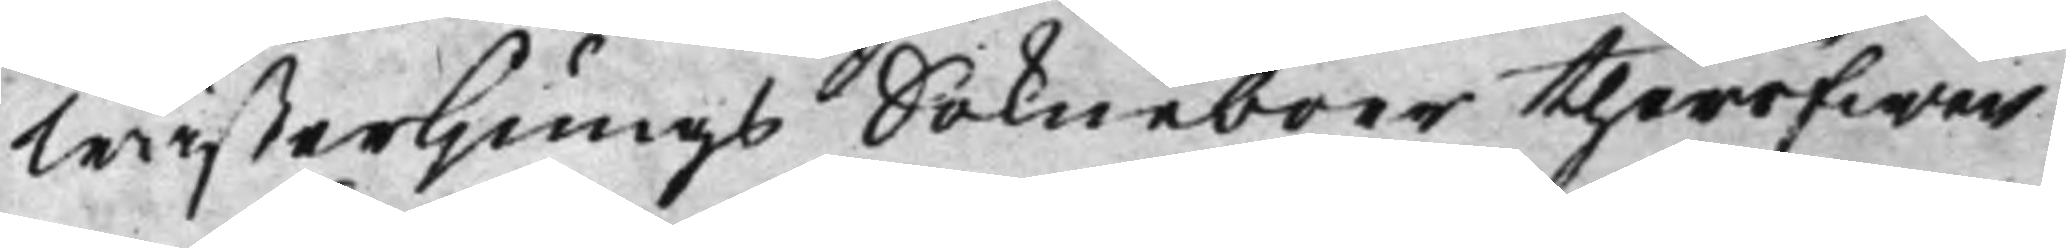Wästerljungs Sokneboer theröfwer
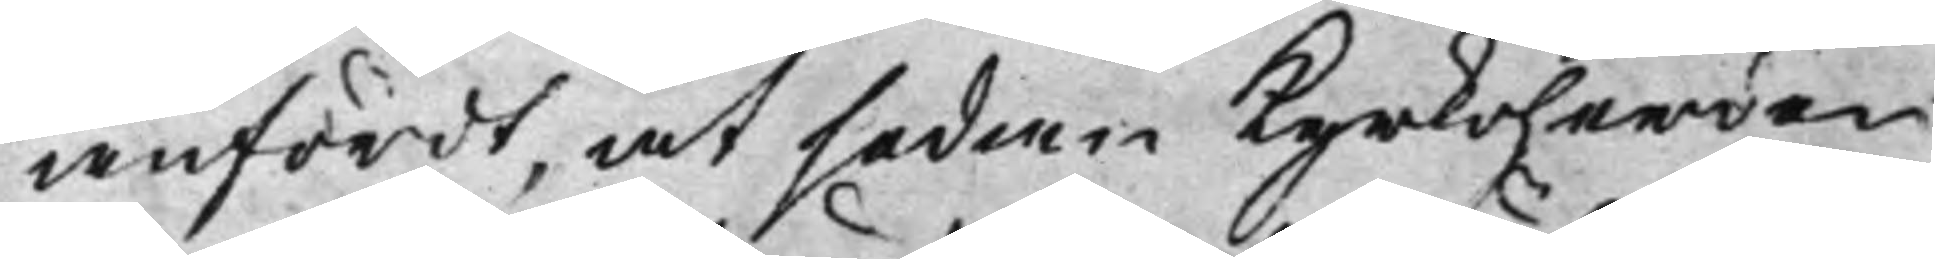anfördt, at sedan Kyrkoherden
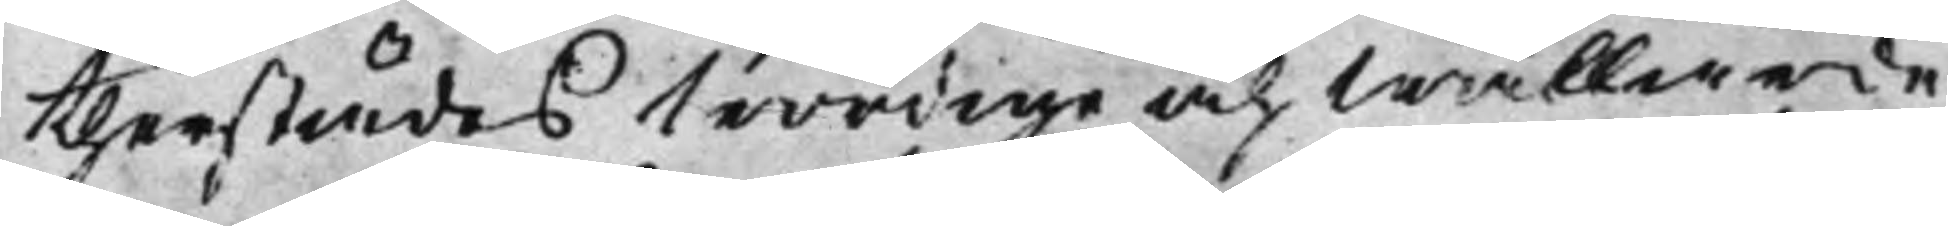therstädes Wördige och Wällärde
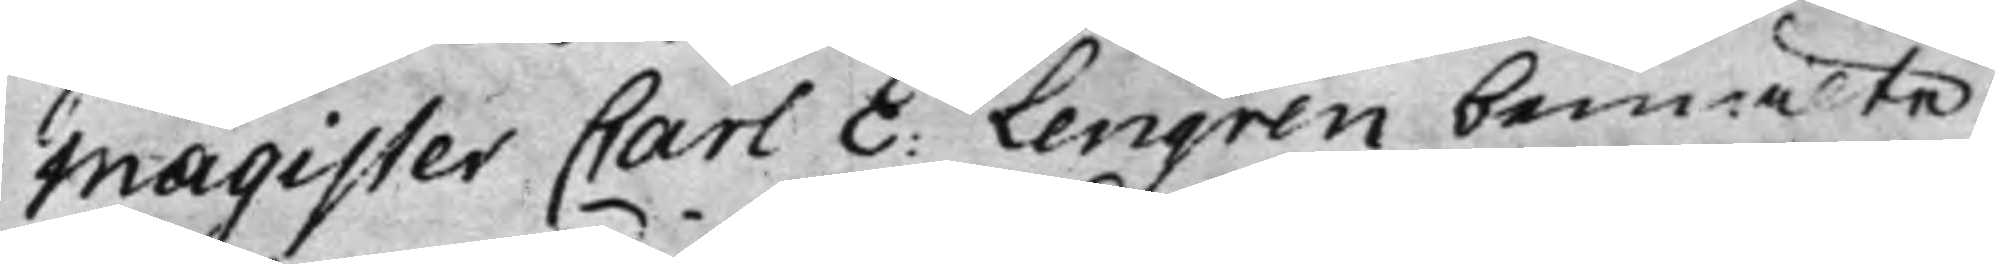Magister Carl E: Lengren bemälte
